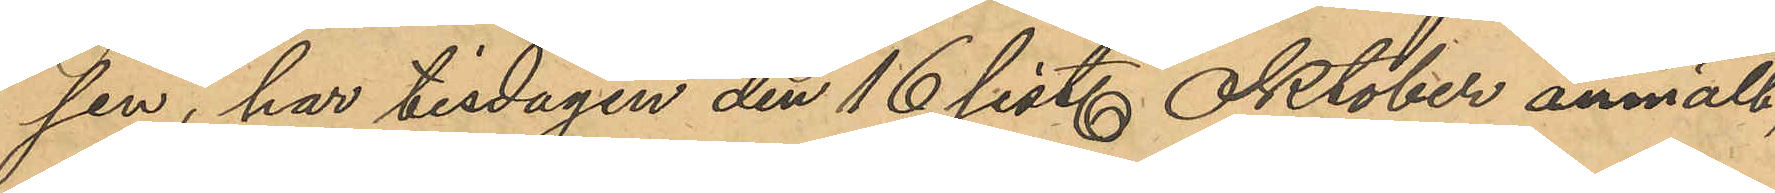sen, har tisdagen den 16 sist. Oktober anmält,
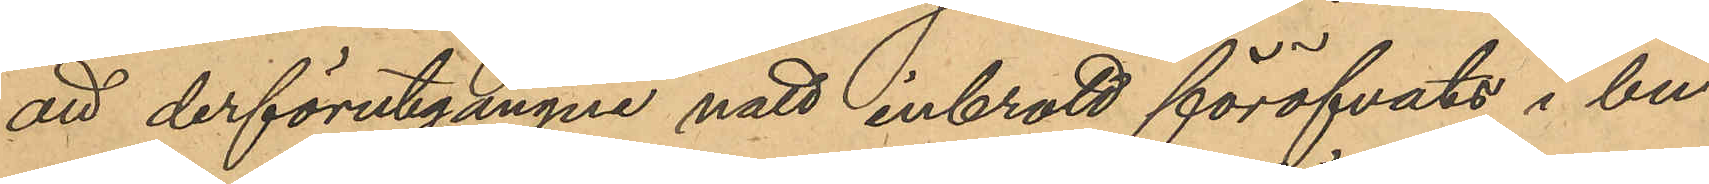att derförutgångne natt inbrott föröfvats i bu¬
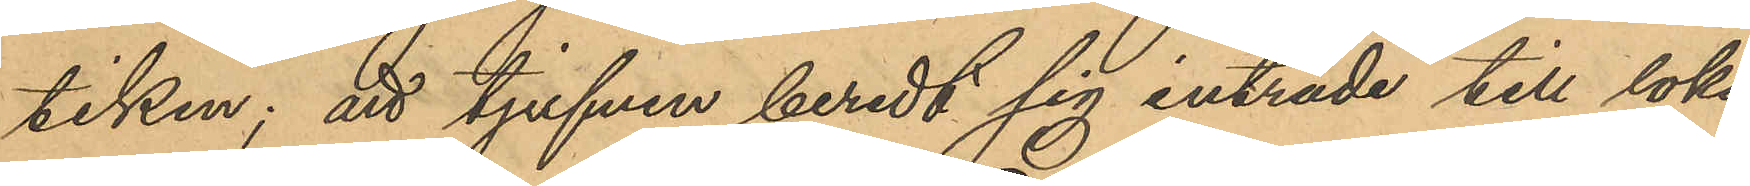tiken; att tjufven beredt sig inträde till loka¬
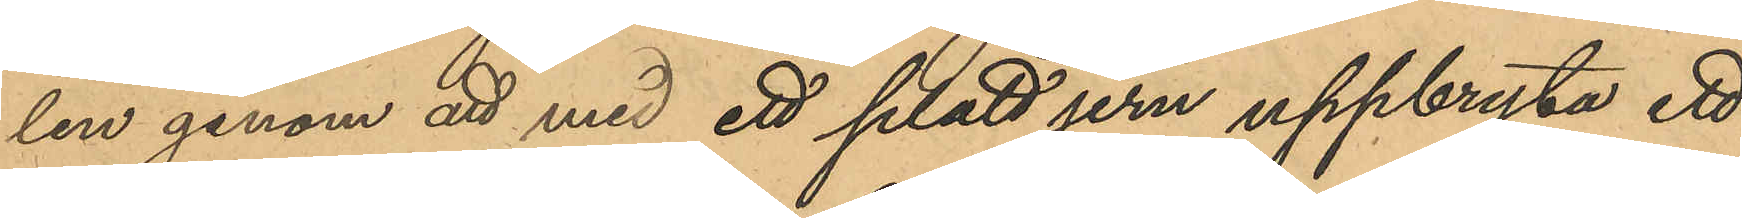len genom att med ett filadt jern uppbryta ett
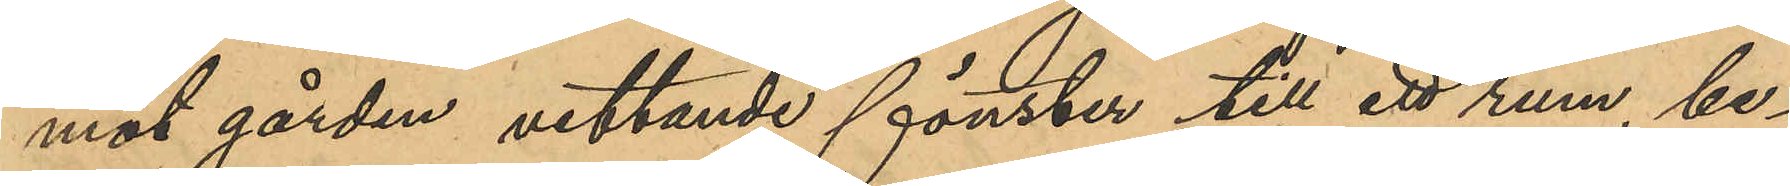mot gården vettande fönster till ett rum, be¬
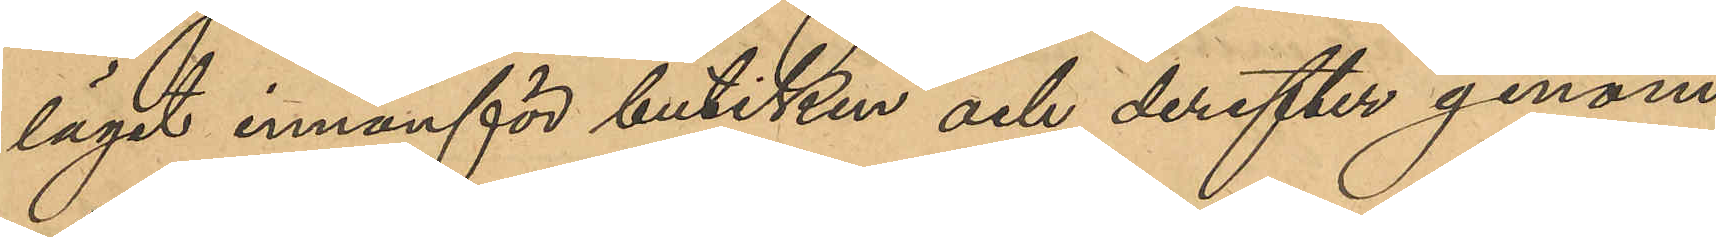läget innaför butiken och derefter genom
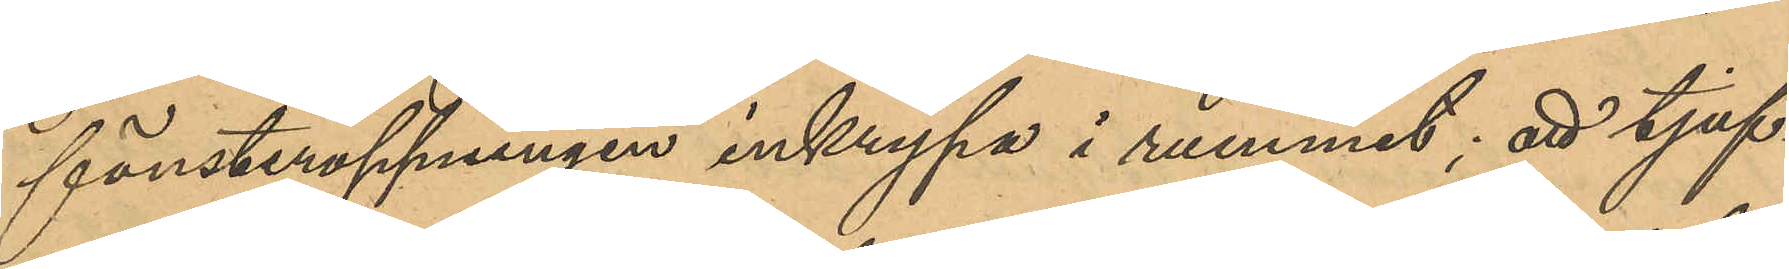fönsteröppningen inkrypa i rummet; att tjuf¬
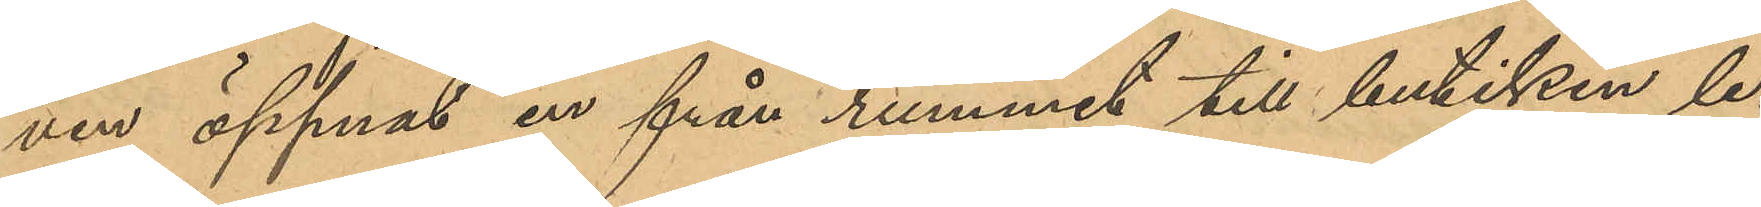ven öppnat en från rummet till butiken le¬
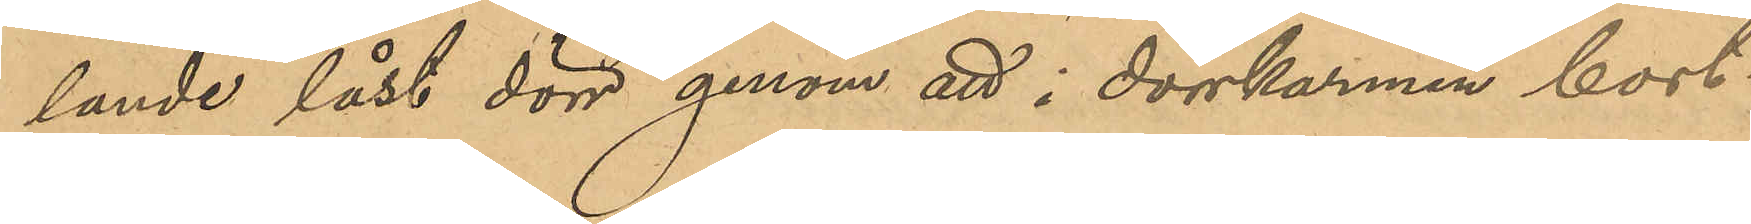dande låst dörr genom att i dörrkarmen bort¬
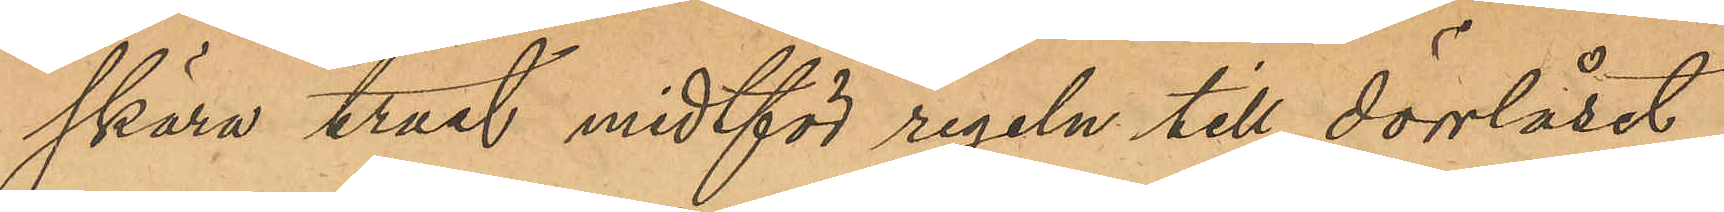skära träet midtför regeln till dörrlåset,
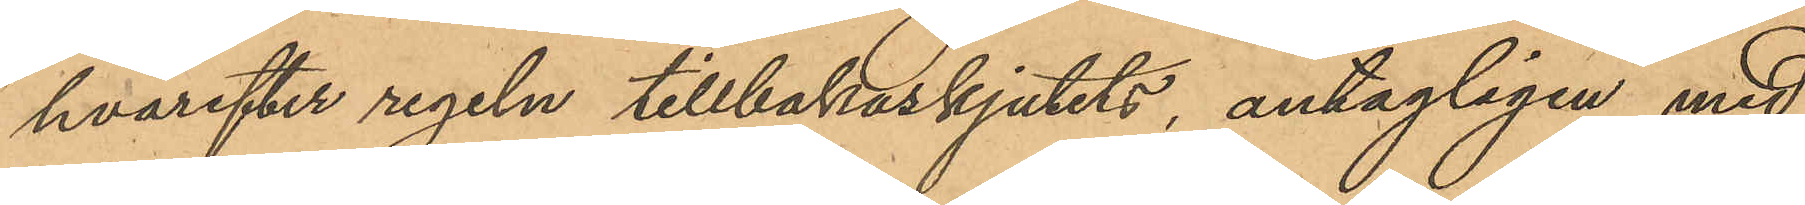hvarefter regeln tillbakaskjutits, antagligen med
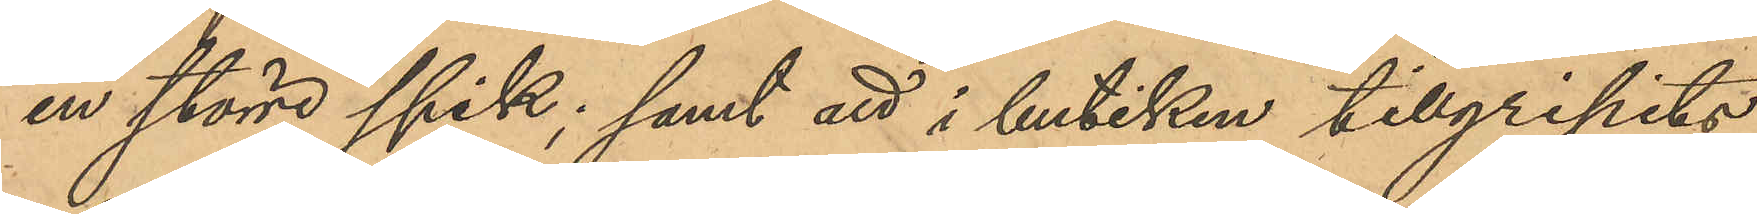en större spik; samt att i butiken tillgripits
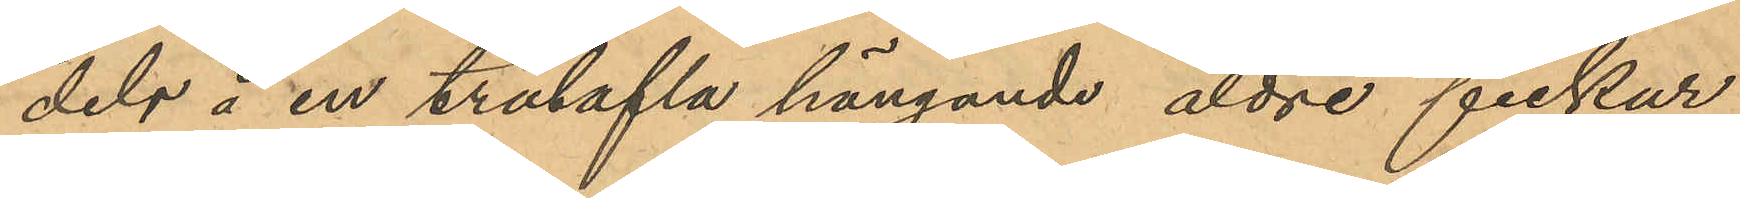dels å en trätafla hängande äldre fickur,
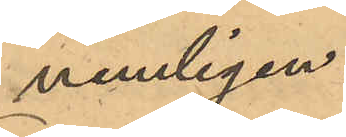nemligen:
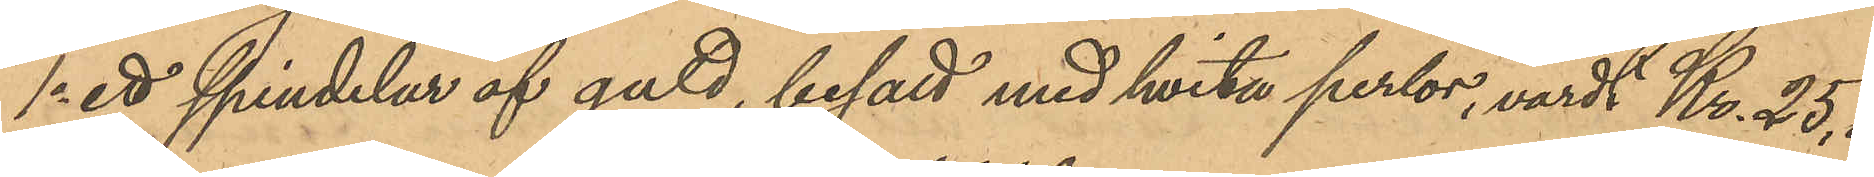1o ett spindelur af guld, besatt med hvita perlor, värdt Kr. 25,00
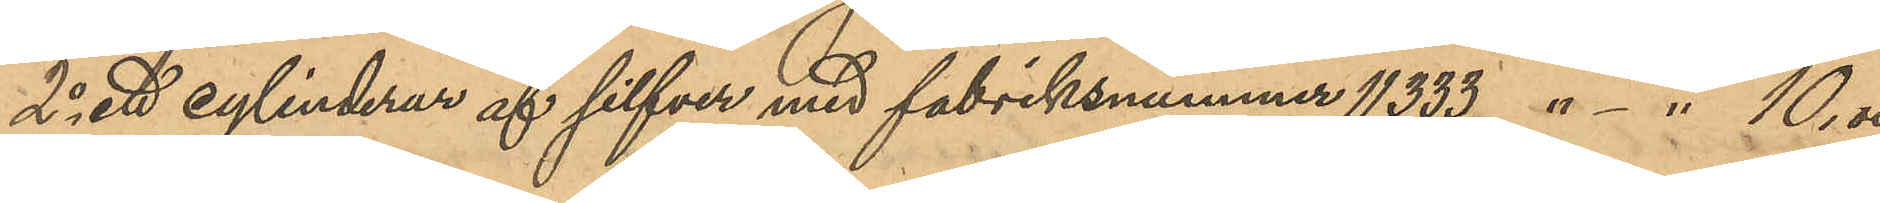2o ett cylinderur af silfver med fabriksnummer 11333 " - " 10,00
